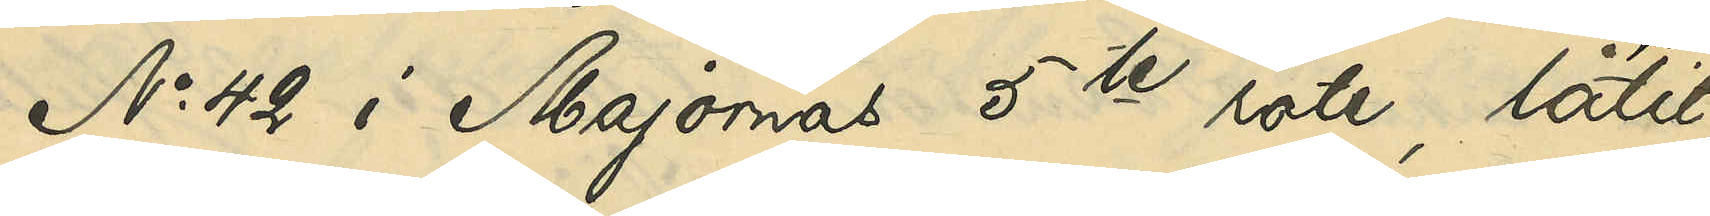No 42 i Majornas 5te rote, låtit
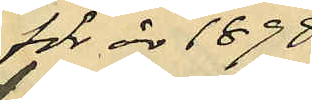för år 1898
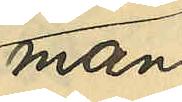man¬
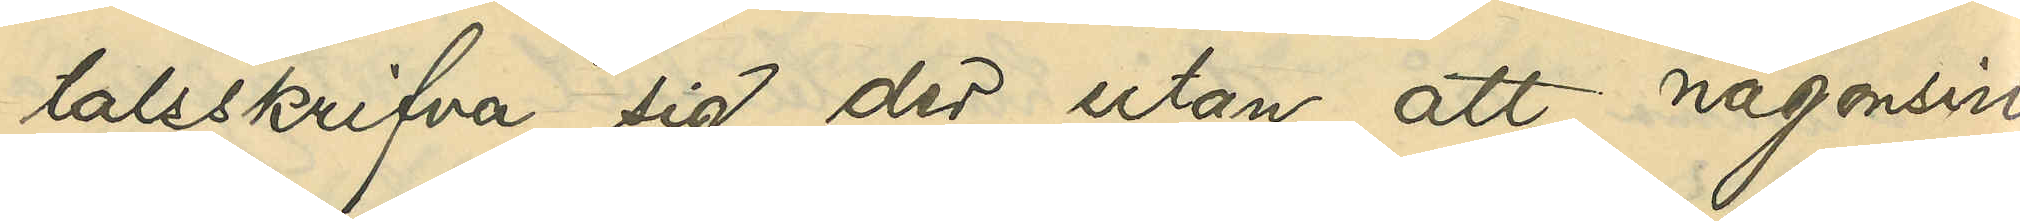talsskrifva sig der utan att någonsin
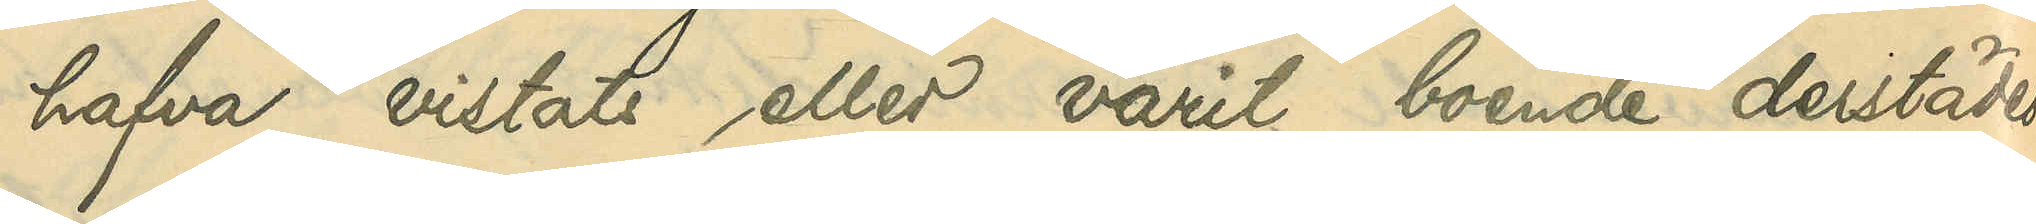hafva vistats, eller varit boende derstädes.
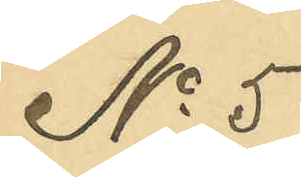No 5
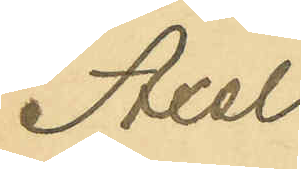Axel
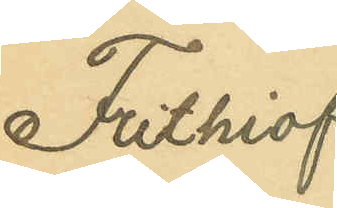Frithiof
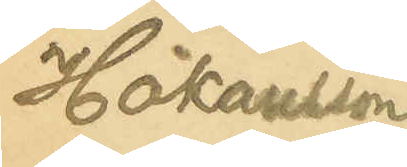Håkansson
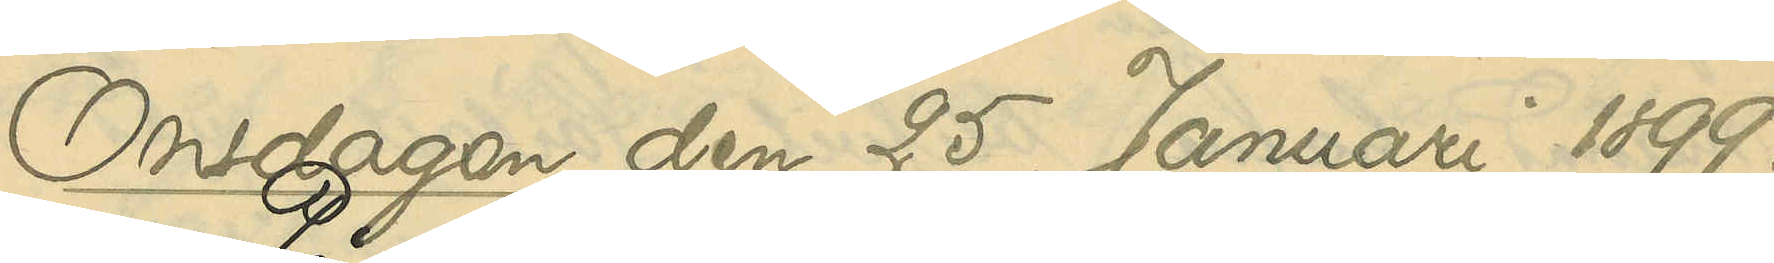Onsdagen den 25 Januari 1899.
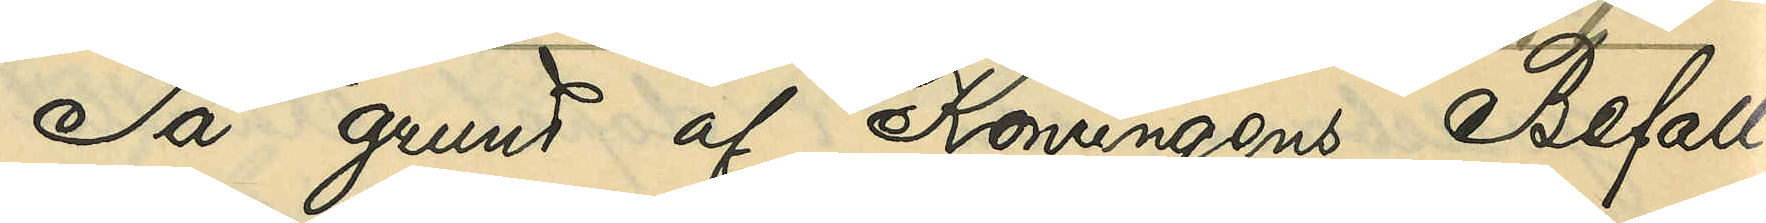På grund af Konungens Befall¬
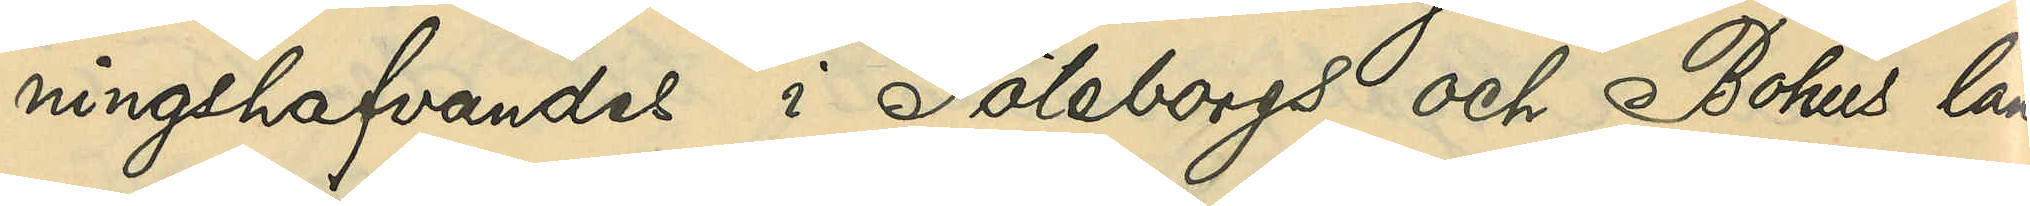ningshfvandes i Göteborgs och Bohus län
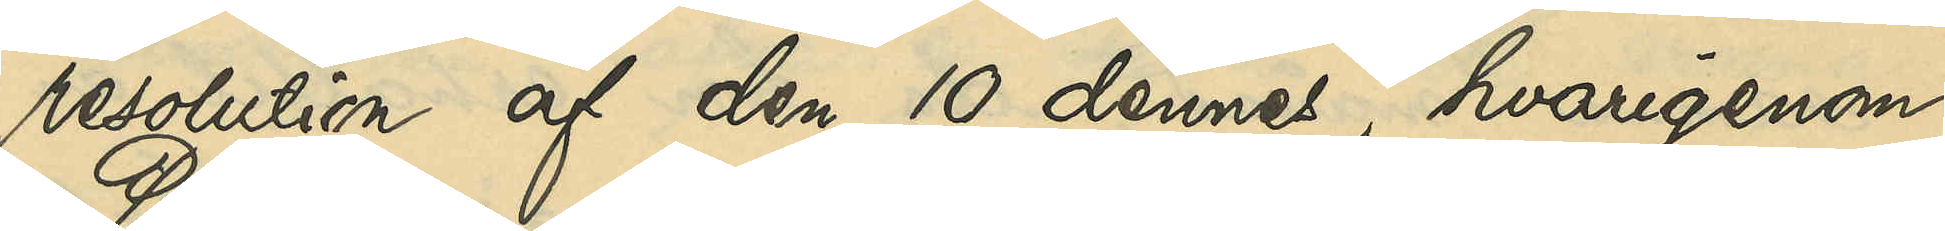resolution af den 10 dennes, hvarigenom
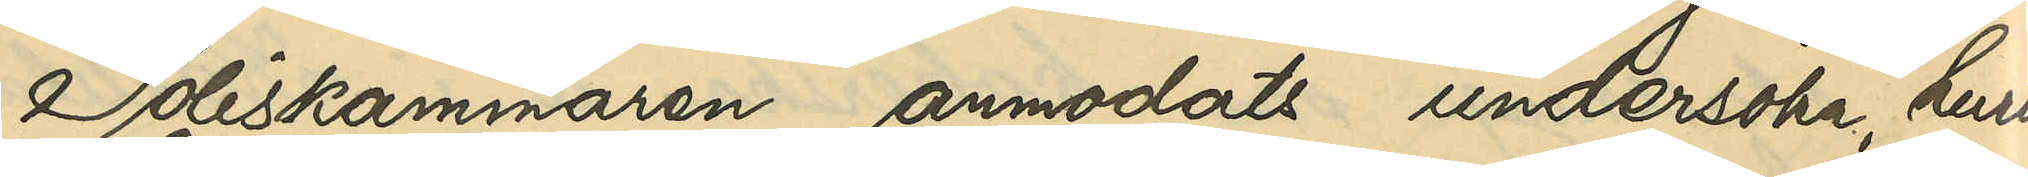Poliskammaren anmodats undersöka, huru
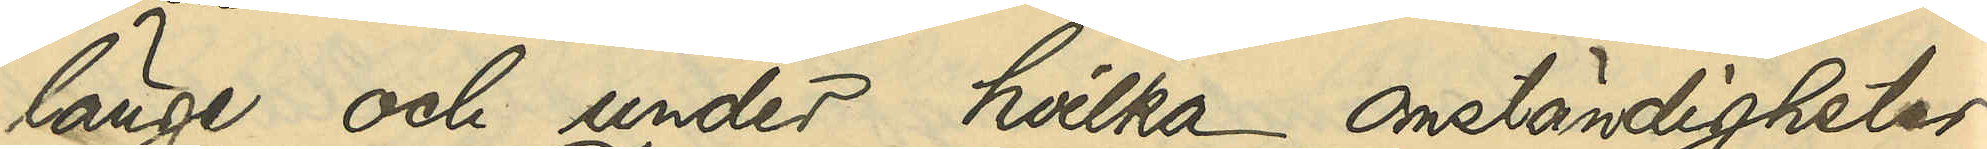länge och under hvilka omständigheter
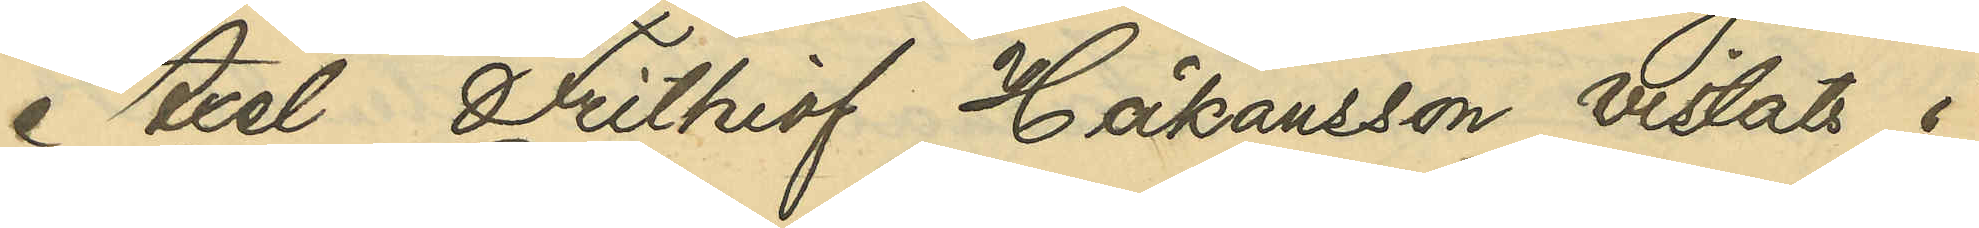Axel Frithiof Håkansson vistats i
